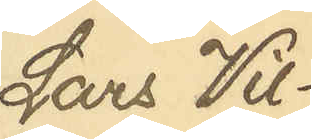Lars Wil¬
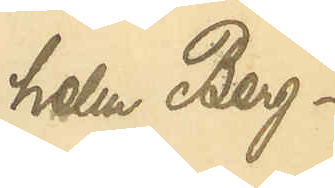helm Berg¬
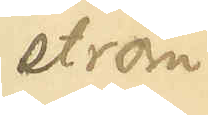ström
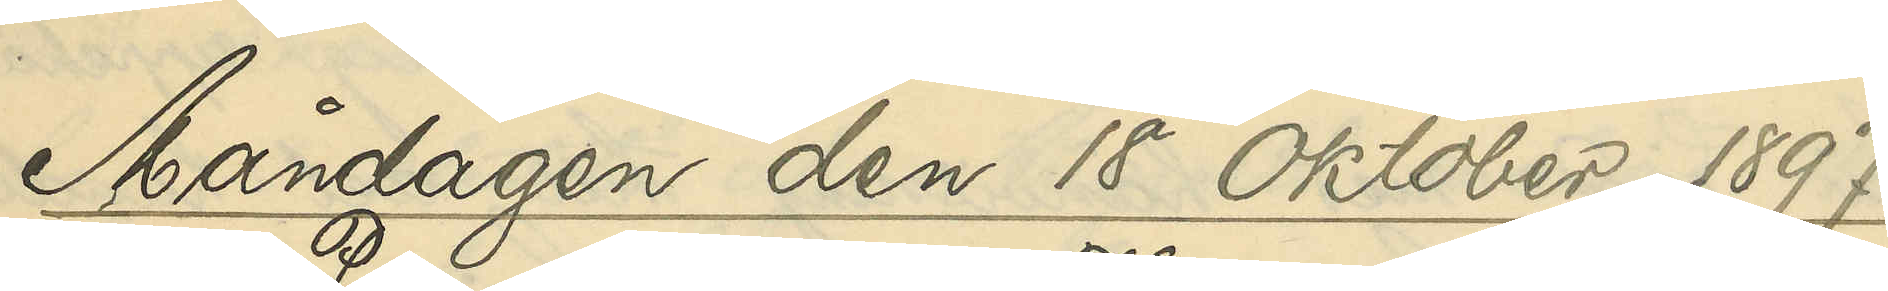Måndagen den 18 Oktober 1897.
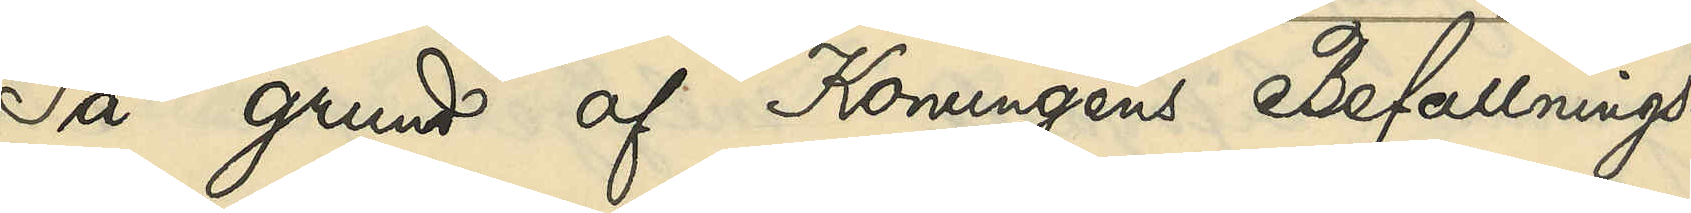På grund af Konungens Befallnings¬
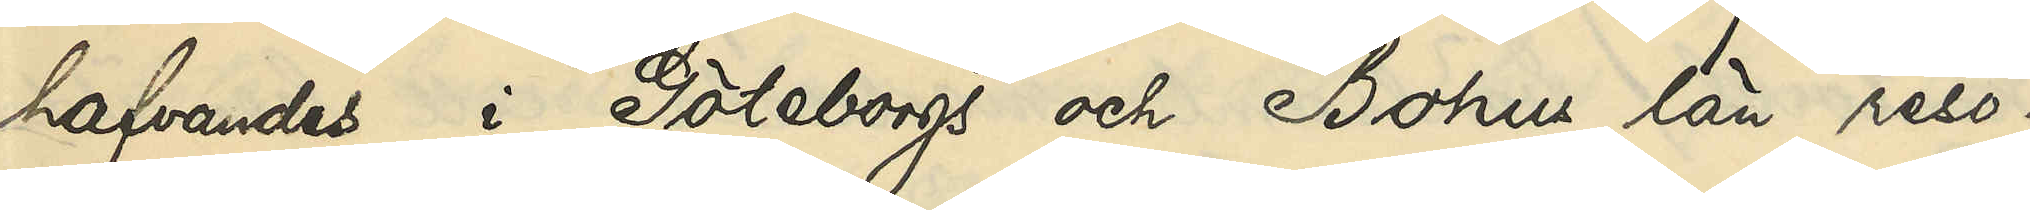hafvandes i Göteborgs och Bohus län reso¬
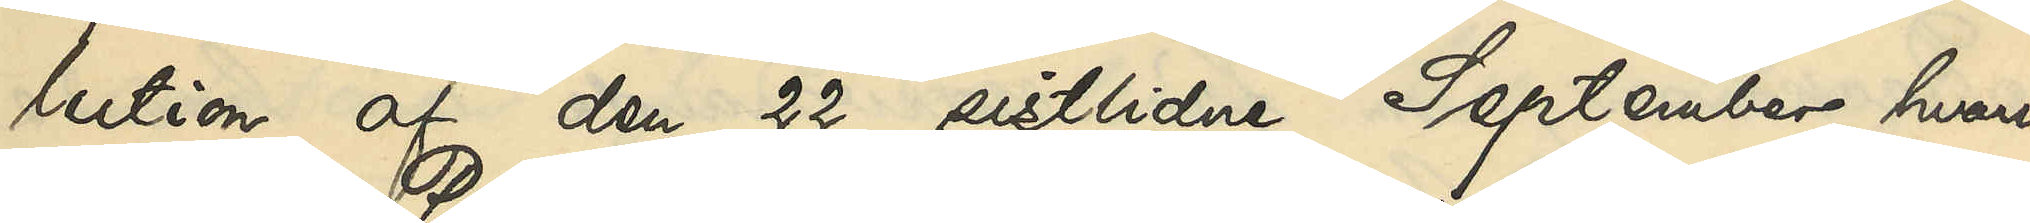lution af den 22 sistlidne September, hvari¬
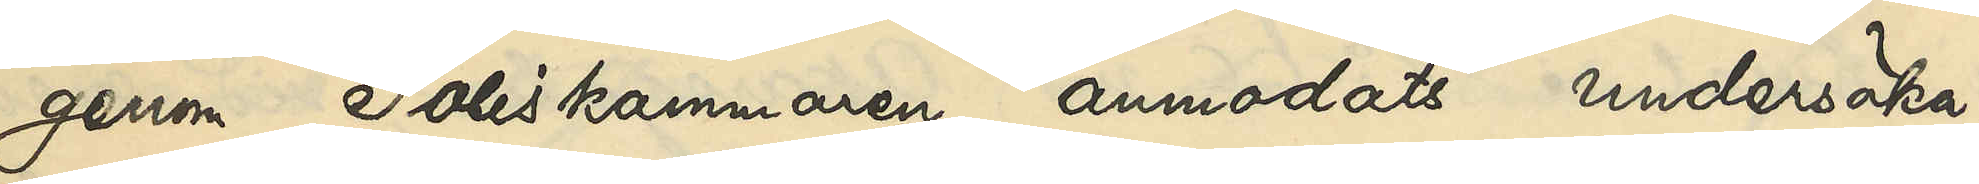genom Poliskammaren anmodats undersöka,
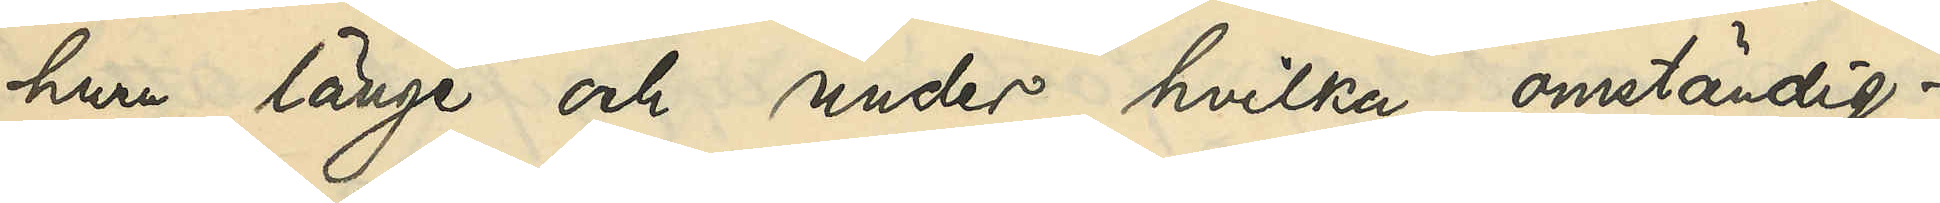hur länge och under hvilka omständig¬
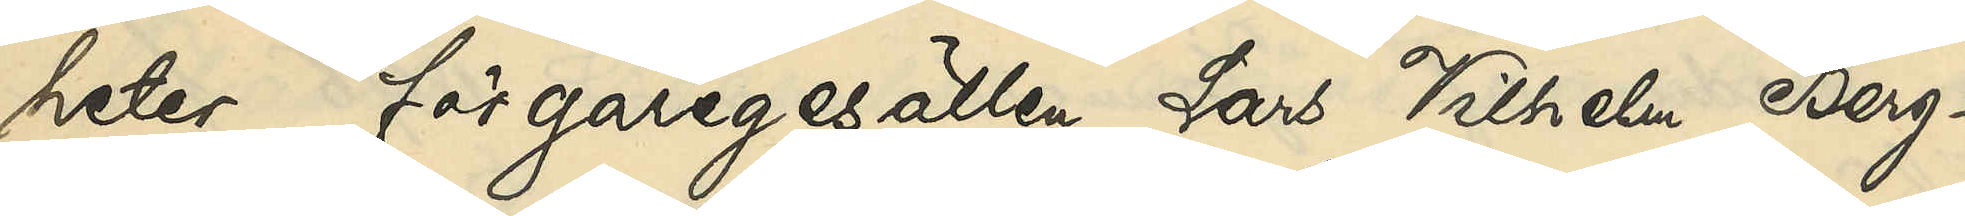heter färgaregesällen Lars Vilhelm Berg¬
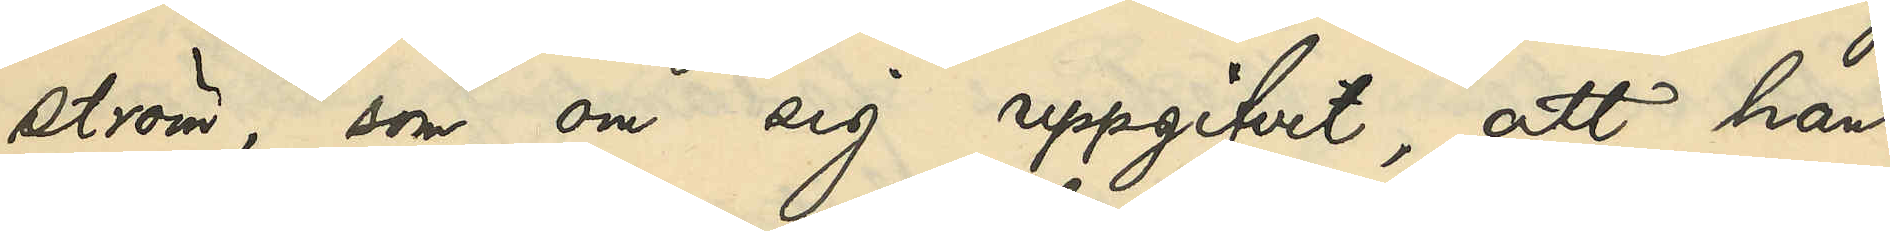ström, som om sig uppgifvit, att han
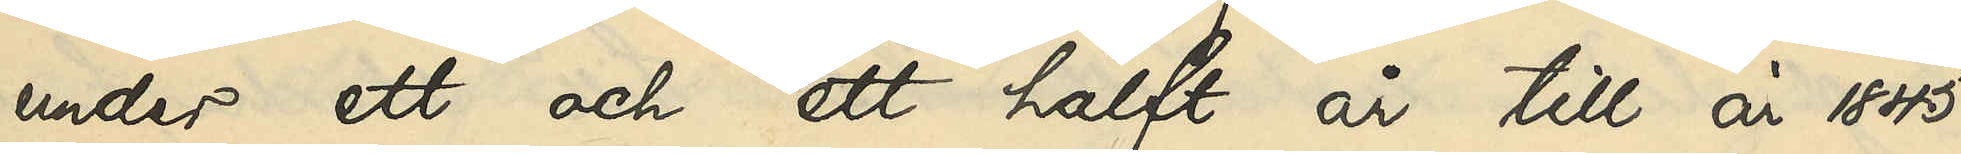under ett och ett halft år till år 1845
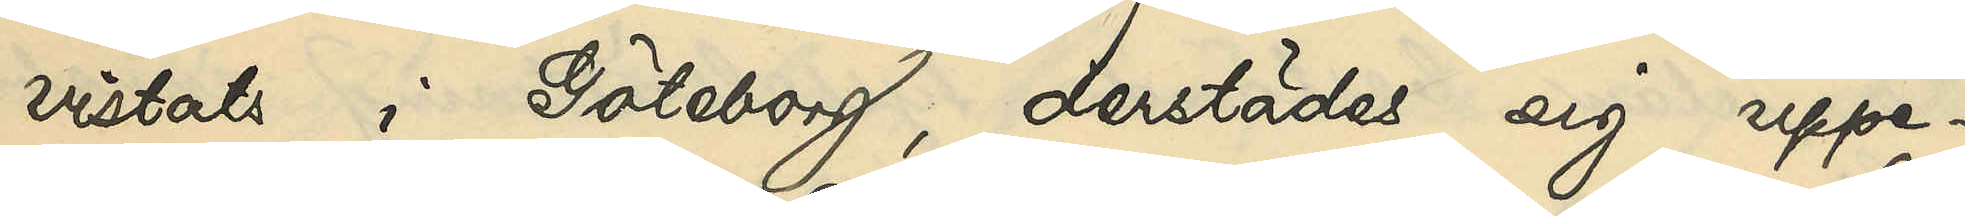vistats i Göteborg, derstädes sig uppe¬
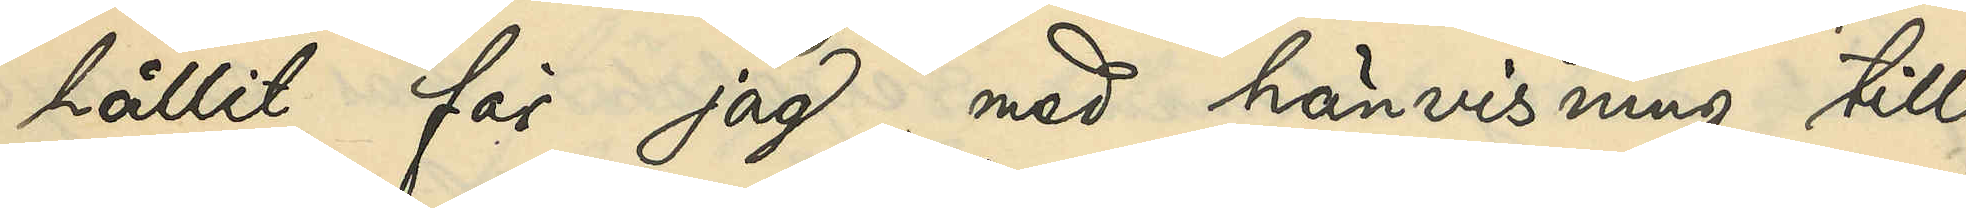hållit, får jag, med hänvisning till
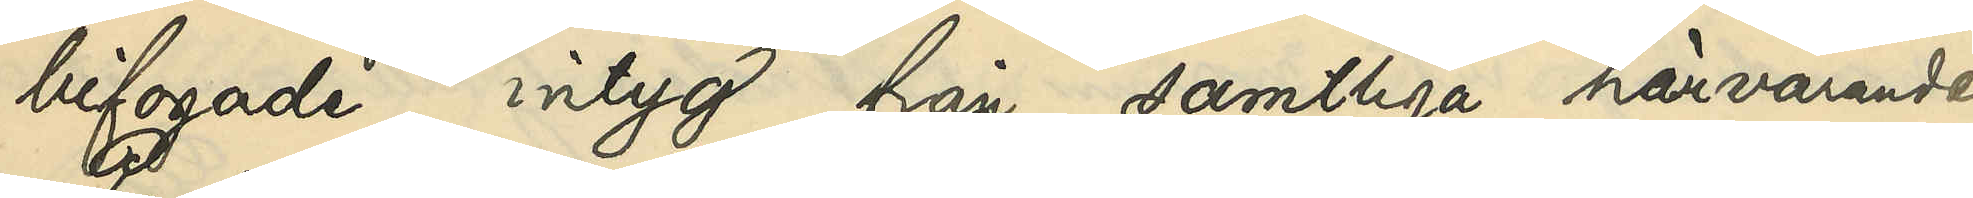bifogade intyg från samtliga härvarande
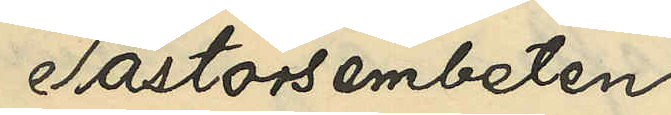Pastorsembeten
